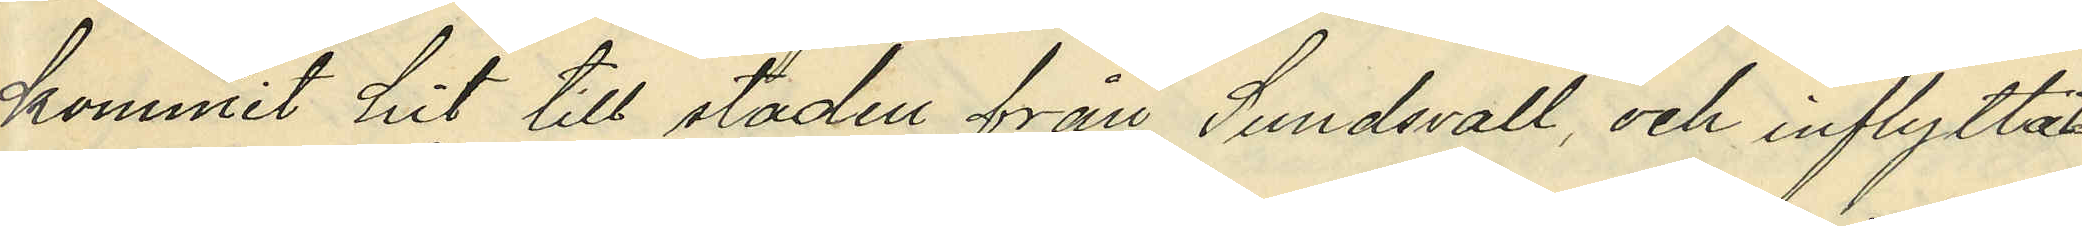kommit hit till staden från Sundsvall och inflyttat
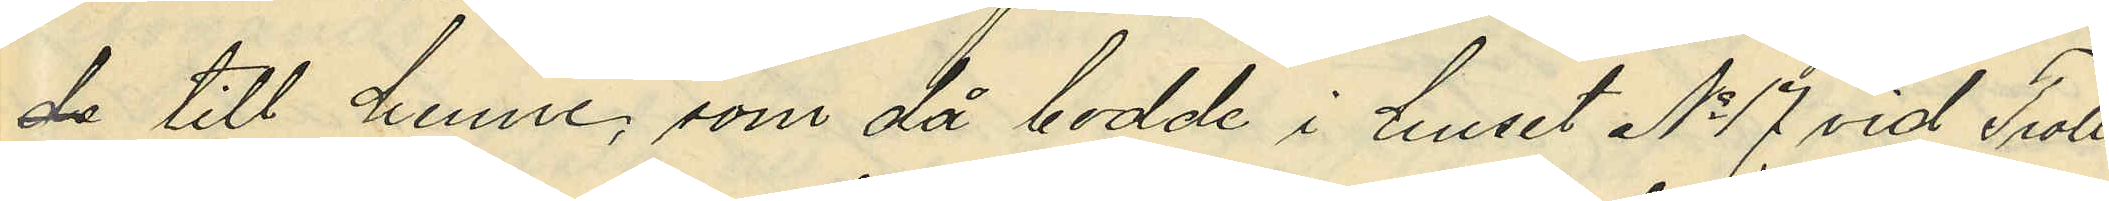de till henne, som då bodde i huset No 17 vid Troll¬
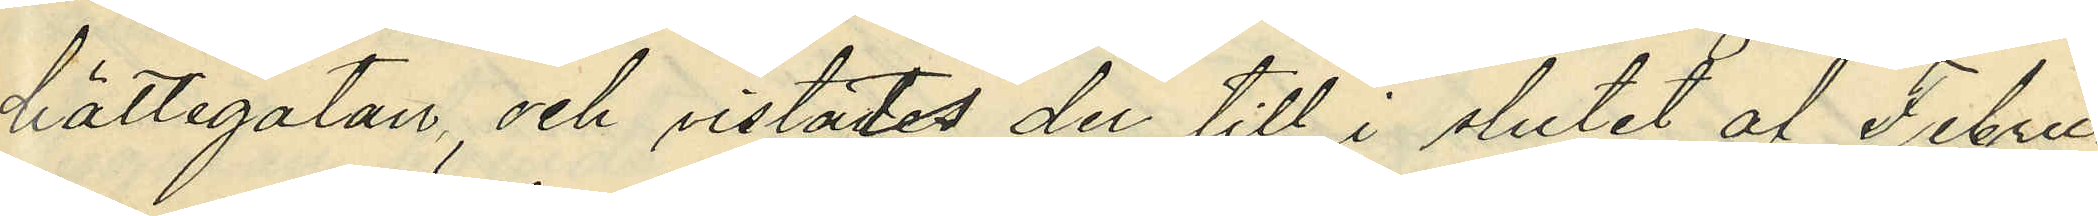hättegatan, och vistades der till i slutet af Febru¬
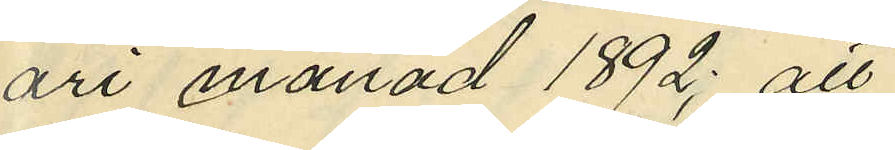ari månad 1892; att
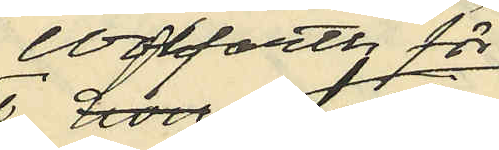Wolfarth för
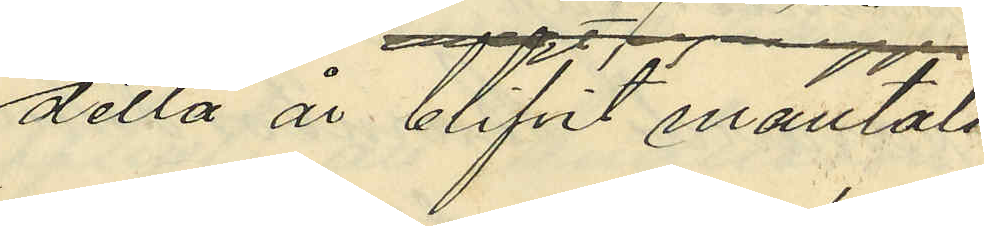detta år blifvit mantals¬
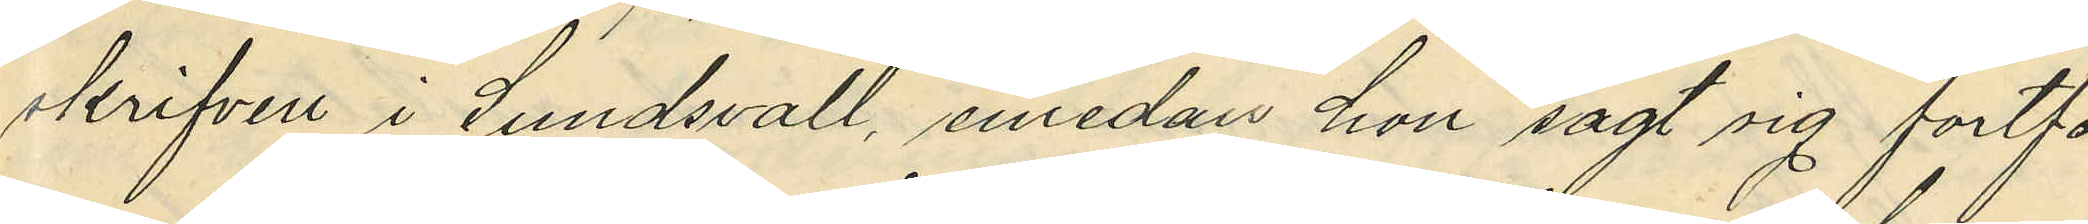skrifven i Sundsvall, emedan hon sagt sig fortfa¬
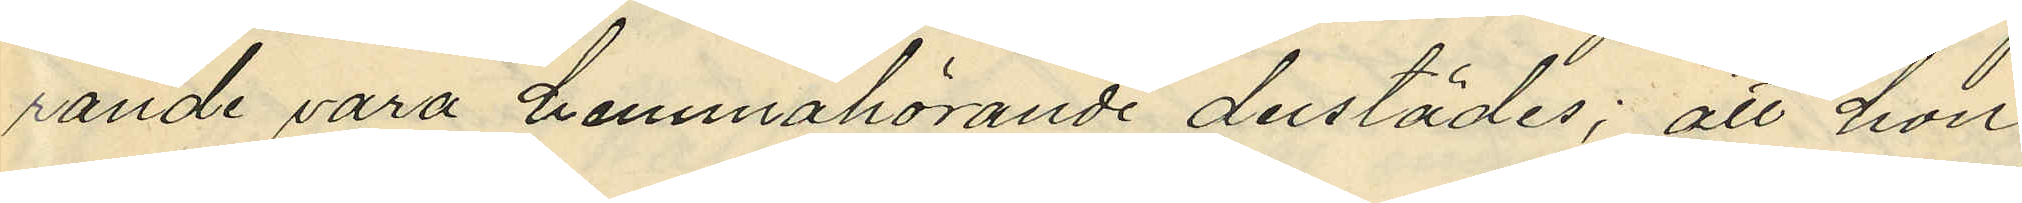rande vara hemmahörande derstädes; att hon
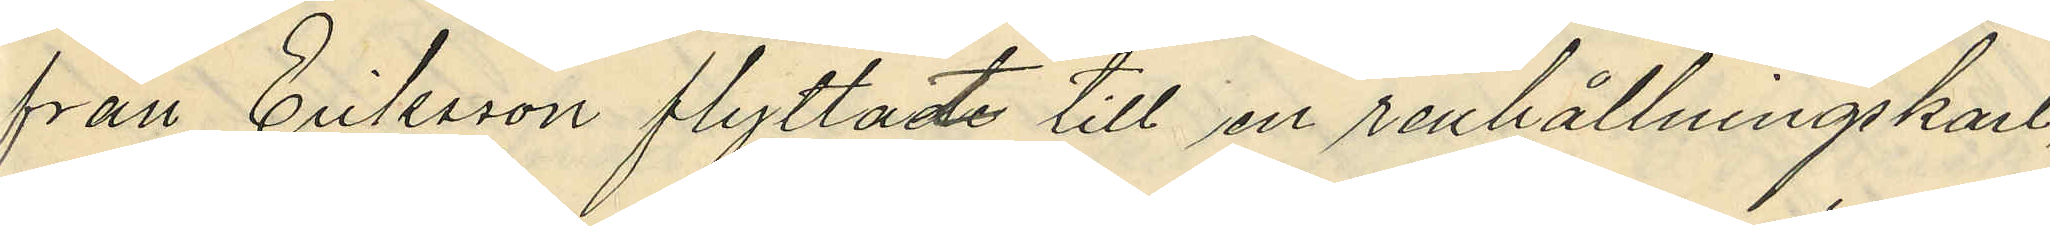från Eriksson flyttade till en renhållningskarl
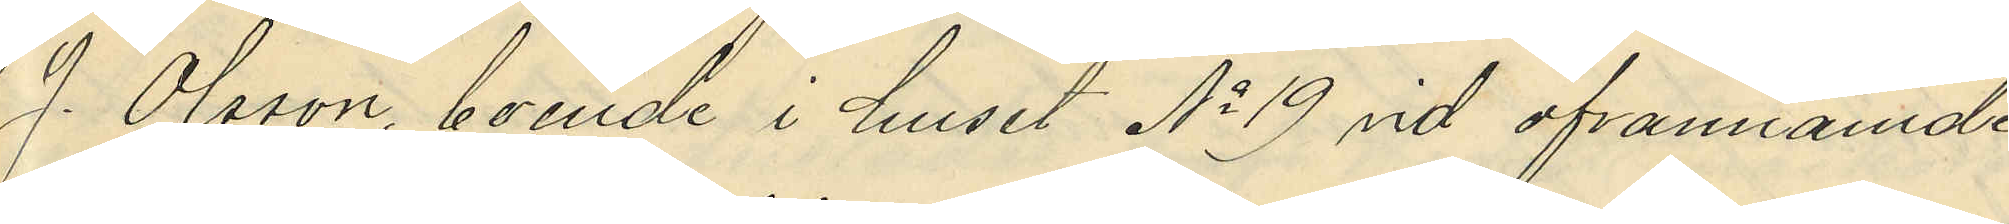J. Olsson, boende i huset No 19 vid ofvannämde
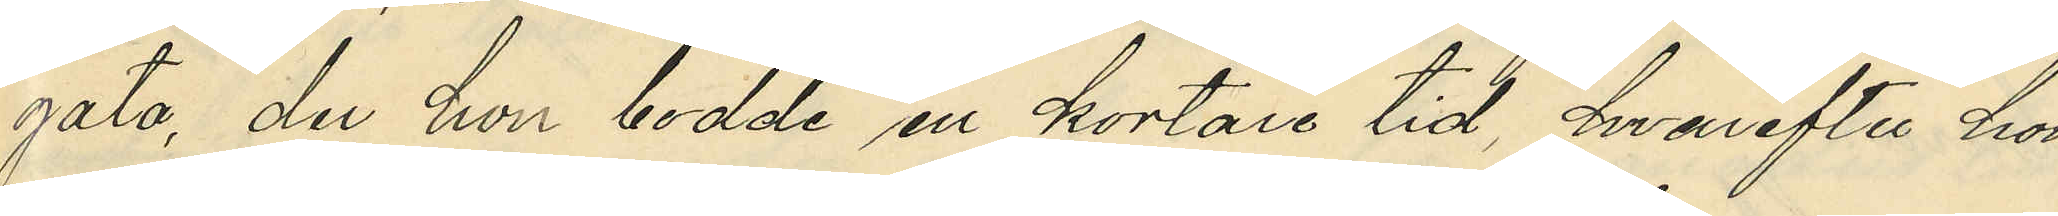gata, der hon bodde en kortare tid hvarefter hon
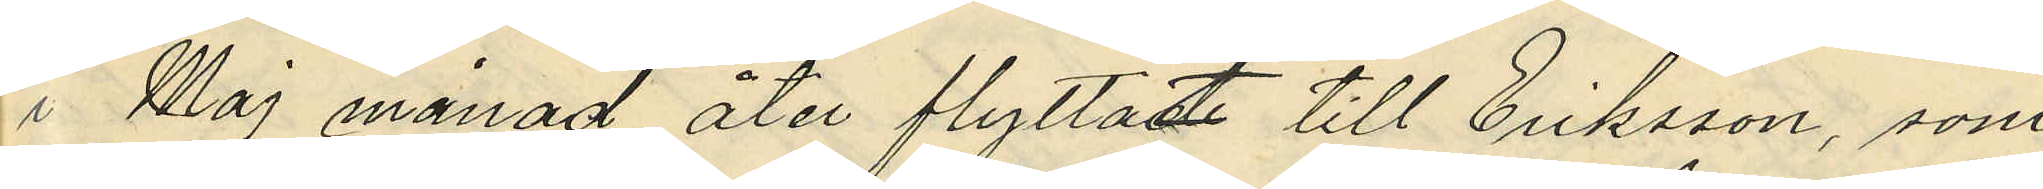i Maj månad åter flyttade till Eriksson, som
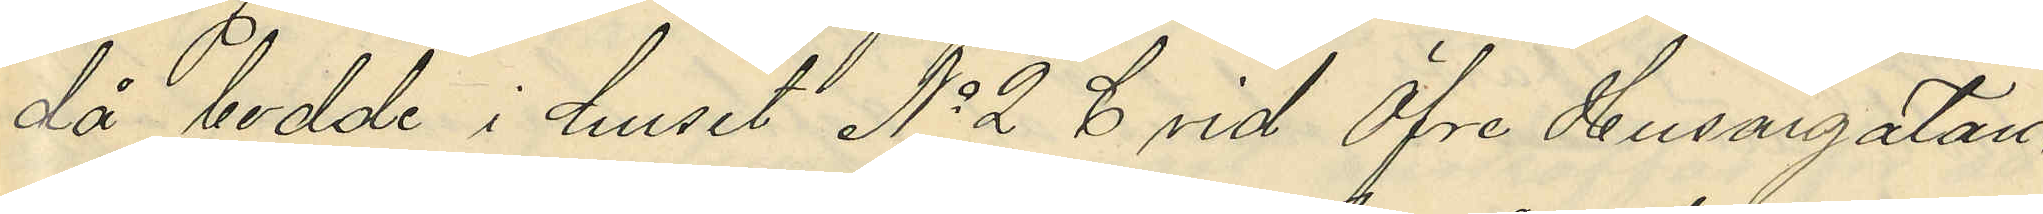då bodde i huset No 2 C vid Öfre Husargatan,
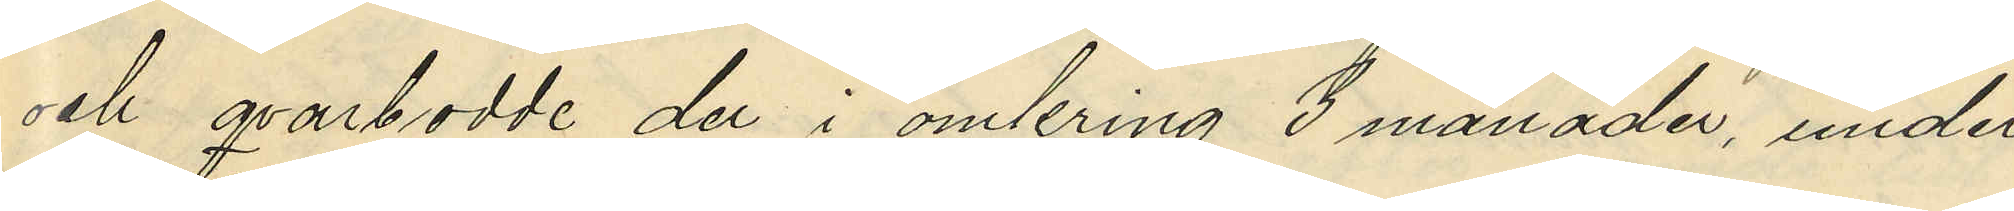och qvarbodde der i omkring 3 månader, under
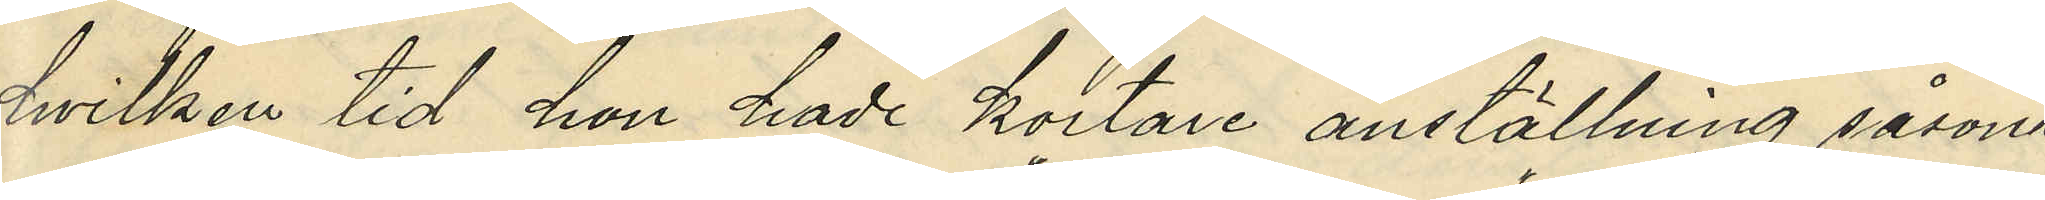hvilken tid hon hade kortare anställning såsom
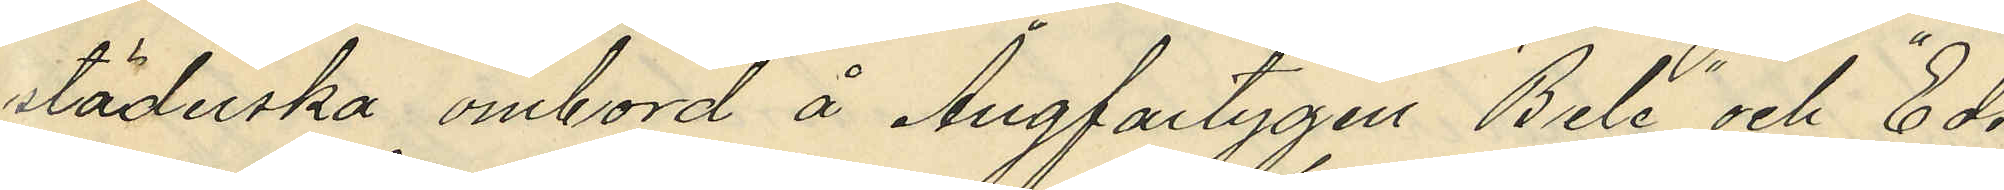städerska ombord å Ångfartygen "Bele" och "Eds¬
